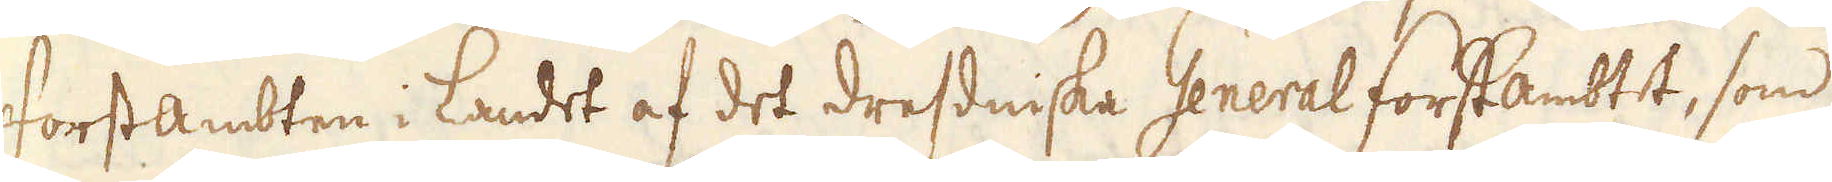ForstAmbten i Landet af det Dresdniska GeneralForstambtet, som
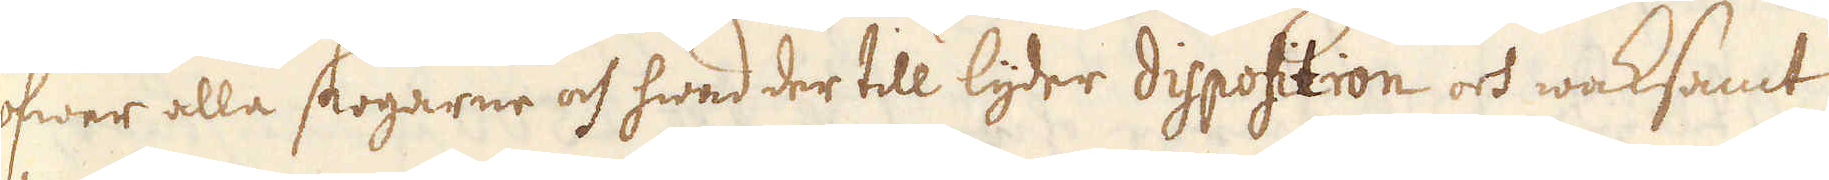öfwer alla stogarne och hwad der till lyder disposition och waksamt
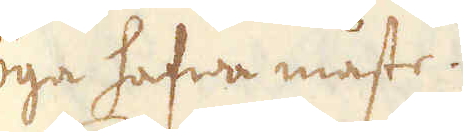öga hafwa måste.
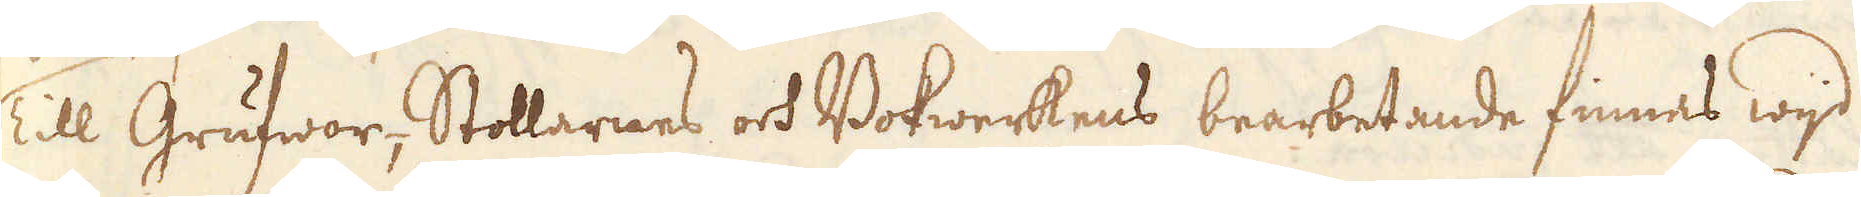Till Grufwor, Stollarnes och Bokwerkens bearbetande finnas wijd
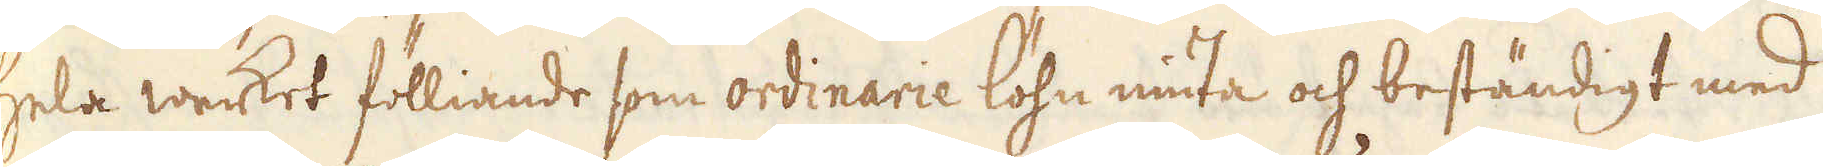hela wecket fölliande som ordinarie löhn niuta och beständigt med
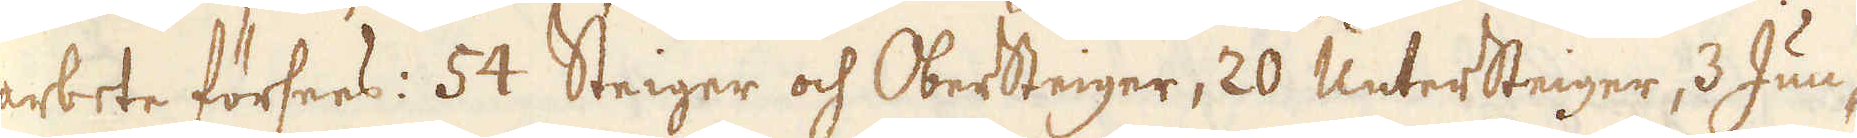arbete försees: 54 Steiger och OberSteiger, 20 UnterSteiger, 3 Jun-
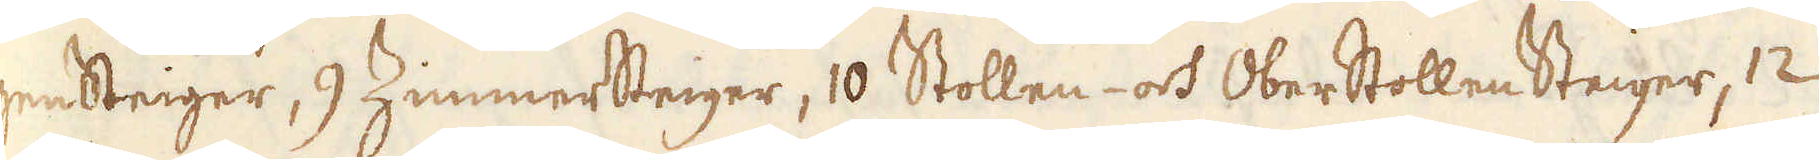gensteiger, 9 ZimmerSteiger, 10 Stollen- och Oberstollen Steiger, 12
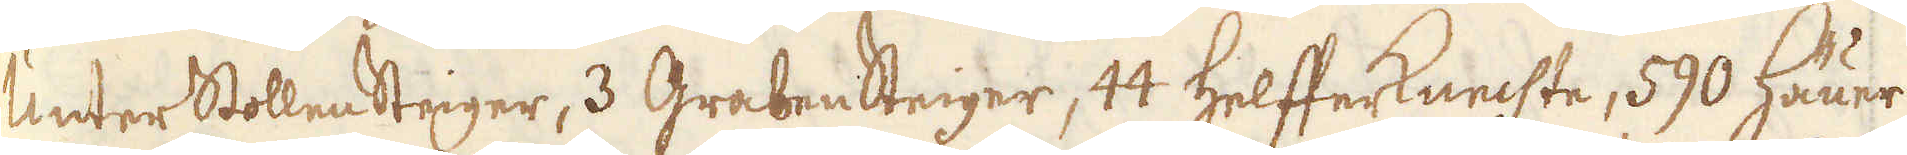Unter Stollen Steiger, 3 Graben Steiger, 44 HelfferKnechte, 590 Häuer
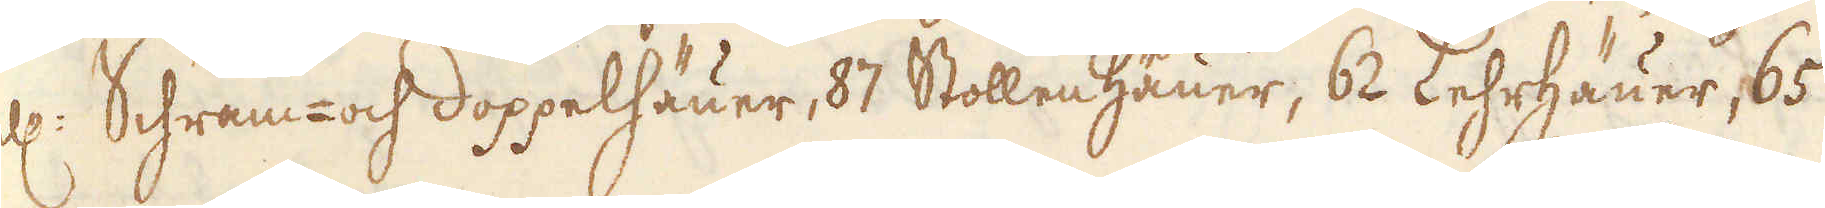ell: Schram- och doppelhäuer, 87 Stollen Häuer, 62 Lehrhäuer, 65
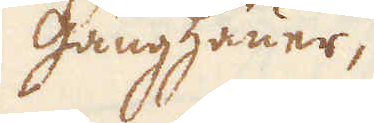gänhäuer,
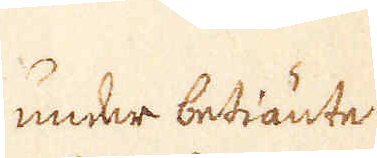under betiänte
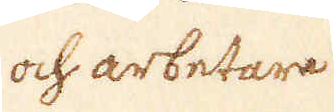och arbetare
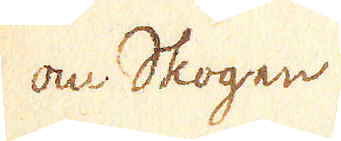om Skogen.
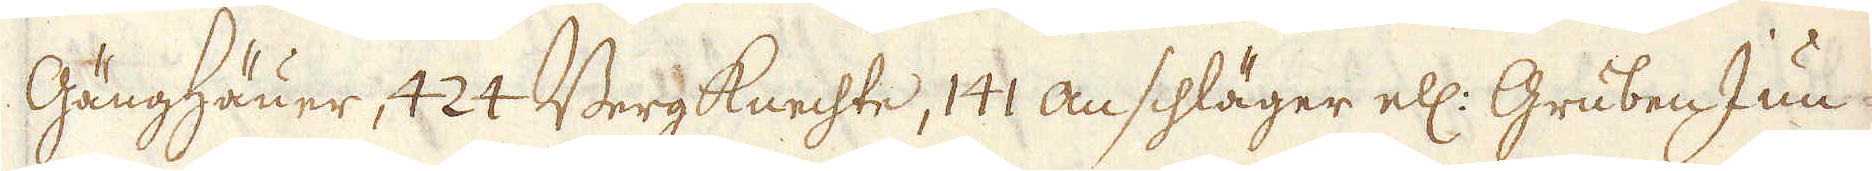Gänghäuer, 424 Berg knechte, 141 Anschläger ell: Gruben Jun-
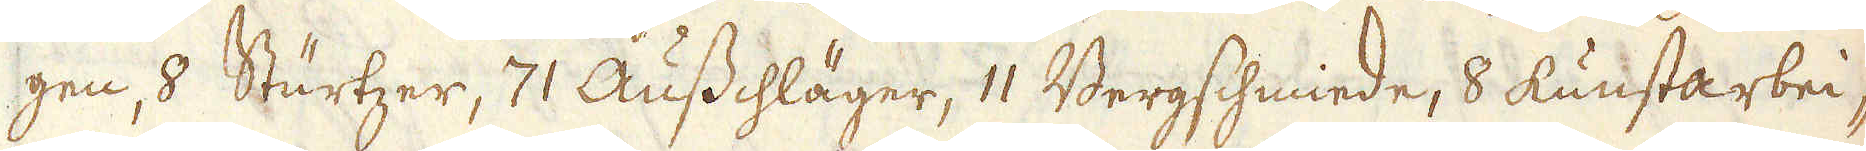gen, 8 Sturtzer, 71 Ausschläger, 11 Bergschmiede, 8 kunstarbei-
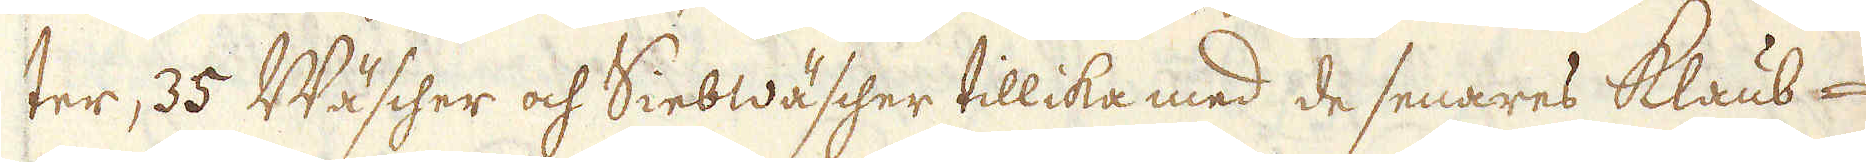ter, 35 Wäscher och Siebwäscher tillika med de senares Klaub-
